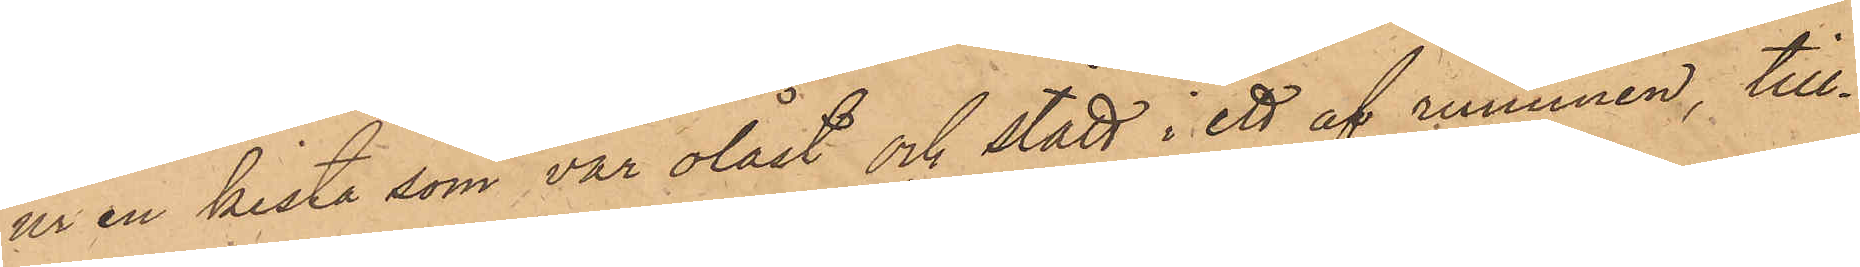ur en kista, som var olåst och stått i ett af rummen, till¬
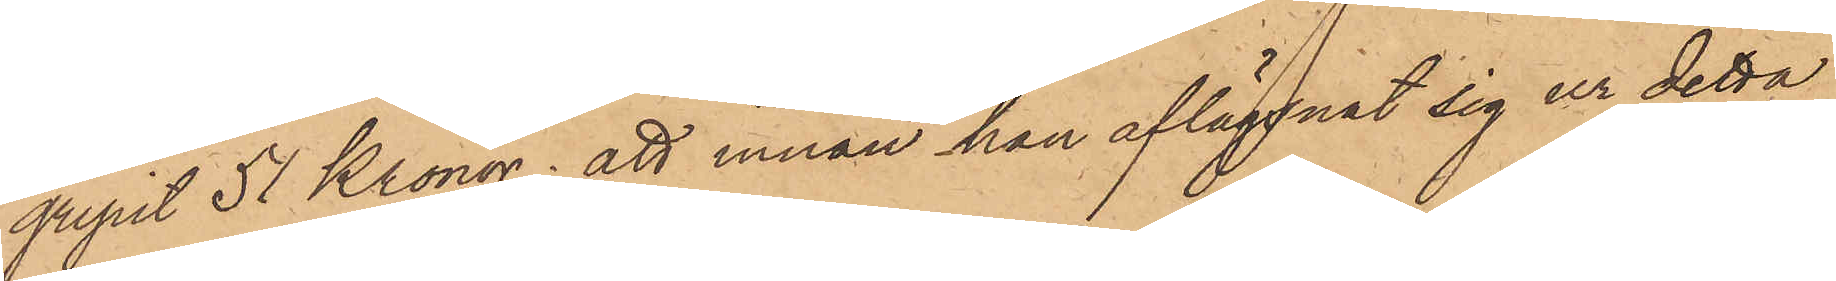gripit 51 Kronor; att innan han aflägsnat sig ur detta
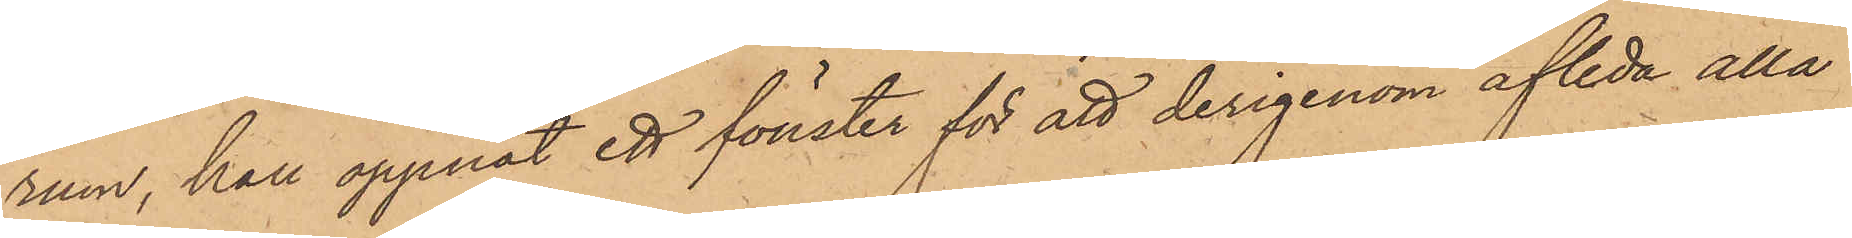rum, han öppnat ett fönster för att derigenom afleda alla
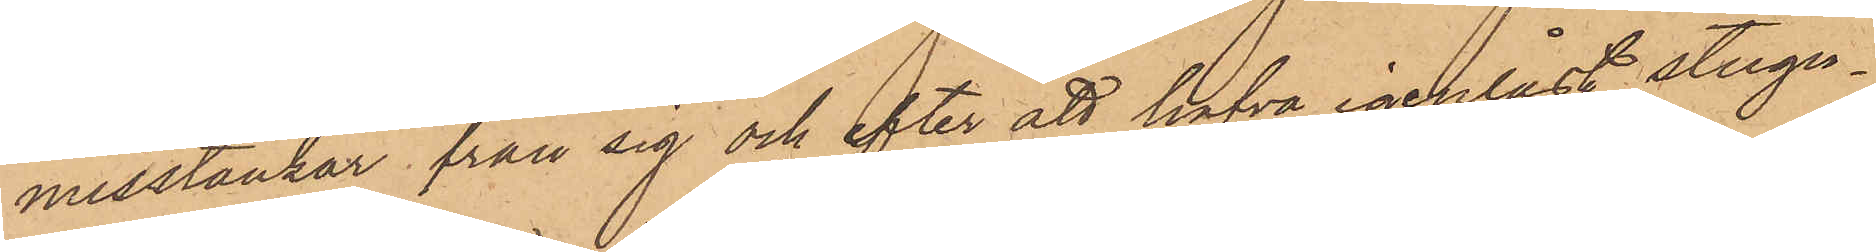misstankar från sig och efter att hafva igenlåst stugu¬
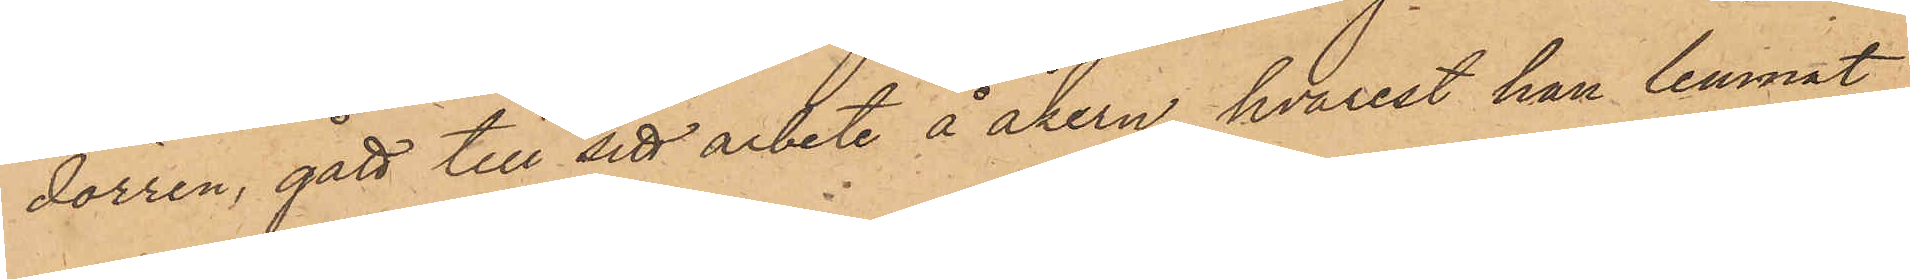dörren, gått till sitt arbete å åkern, hvarest han lemnat
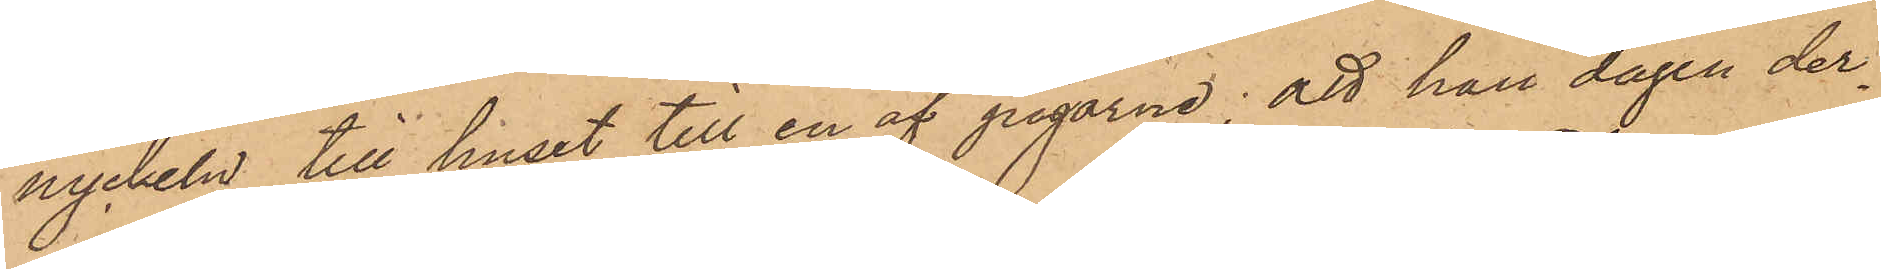nyckeln till huset till en af pigorne; att han dagen der¬
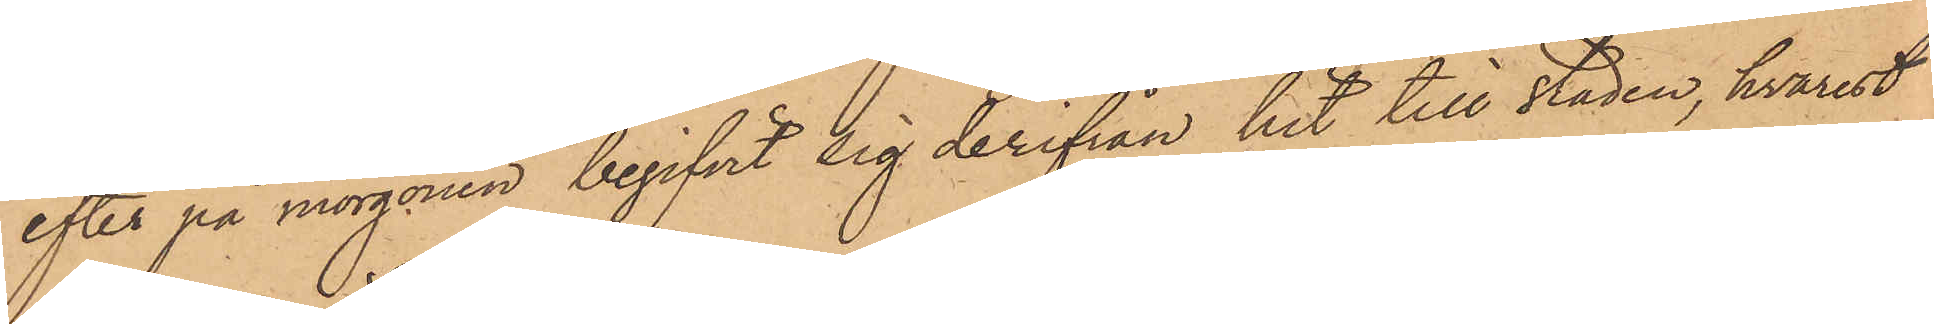efter på morgonen begifvit sig derifrån hit till staden, hvarest
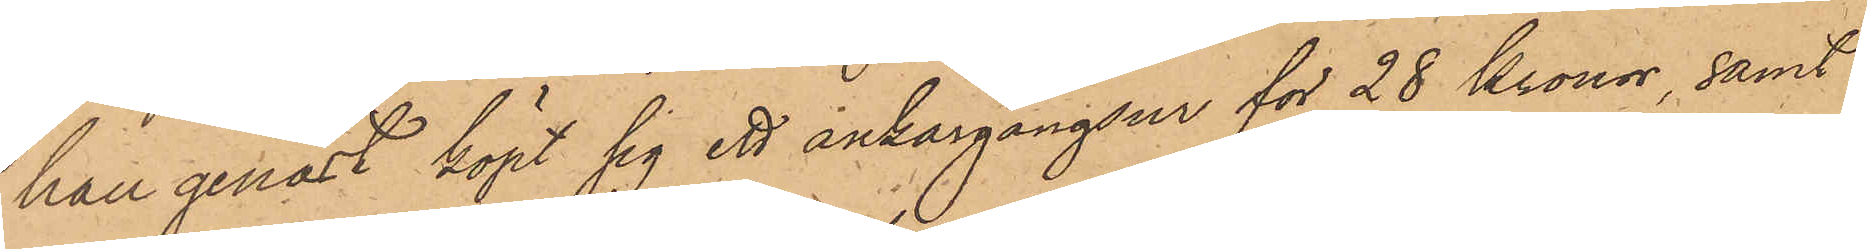han genast köpt sig ett ankargångsur för 28 Kronor, samt
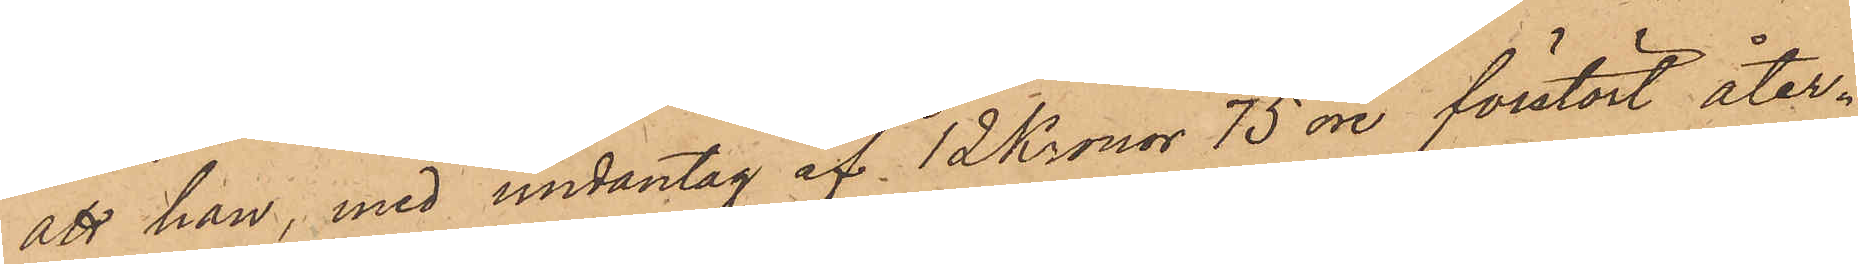att han, med undantag af 12 Kronor 75 öre förstört åter¬
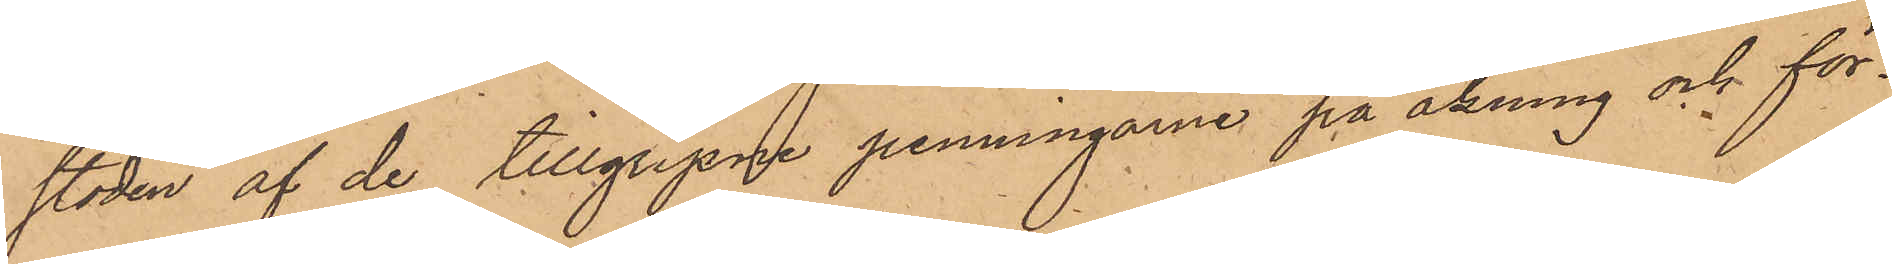stoden af de tillgripne penningarne på åkning och för¬
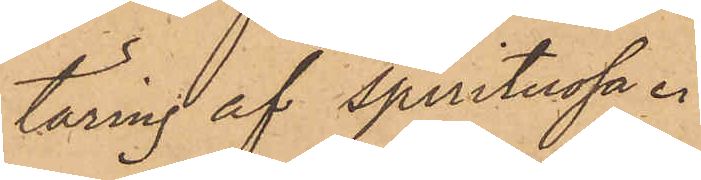täring af spritituosa.
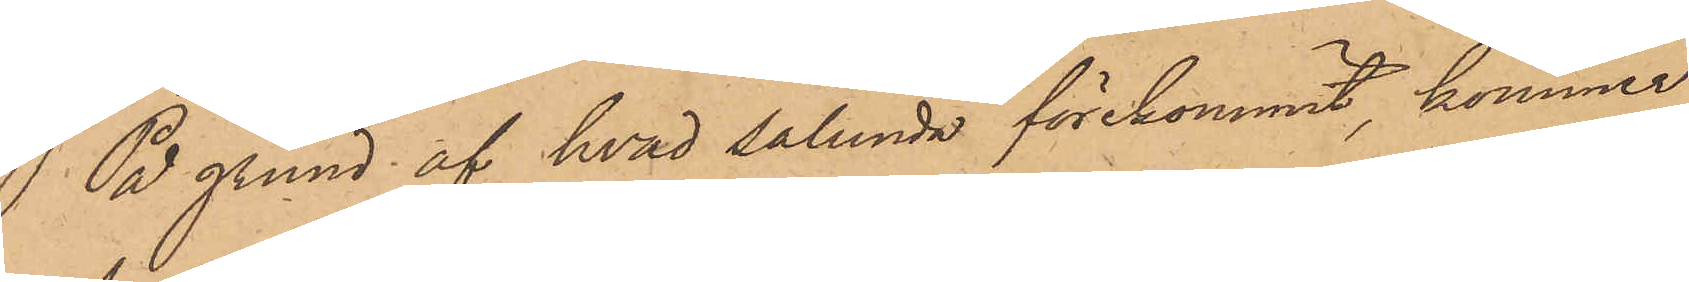På grund af hvad sålunda förekommit, kommer
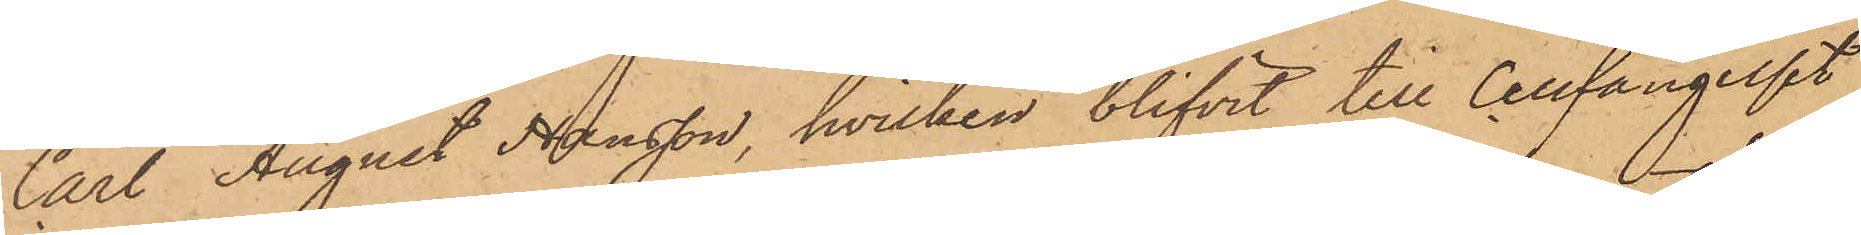Carl August Hansson, hvilken blifvit till Cellfängelset
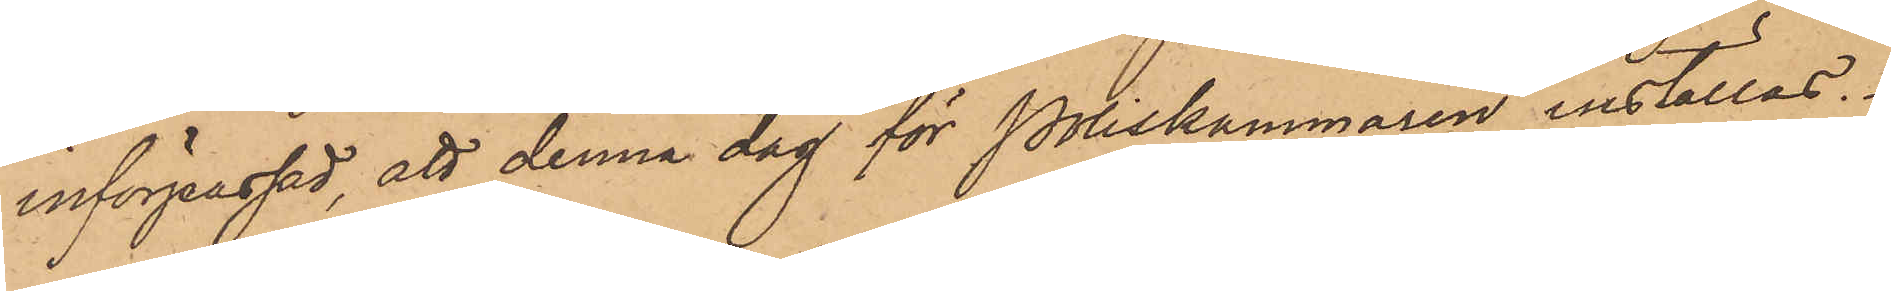införpassad, att denna dag för Poliskammaren inställas.
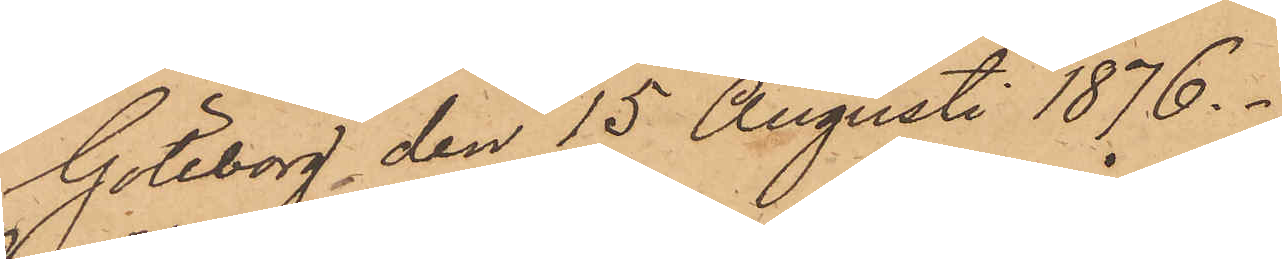Göteborg den 15 Augusti 1876.
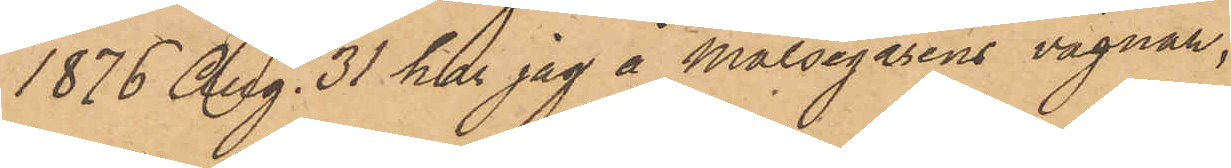1876 Aug. 31 har jag å Målsegarens vägnar,
